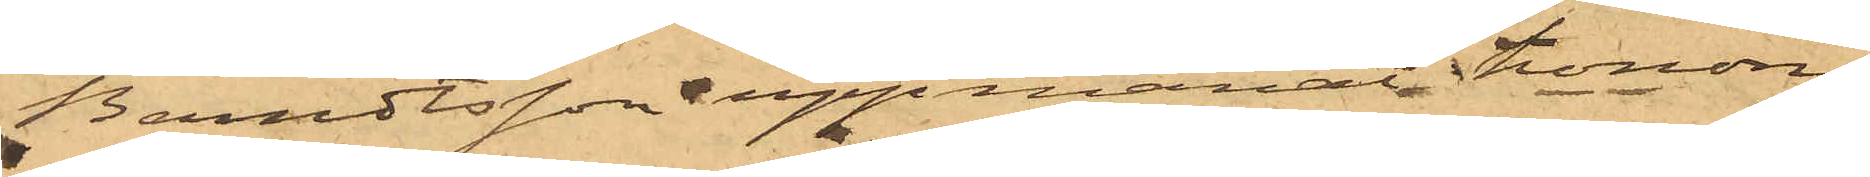Berndtsson uppmanat honom
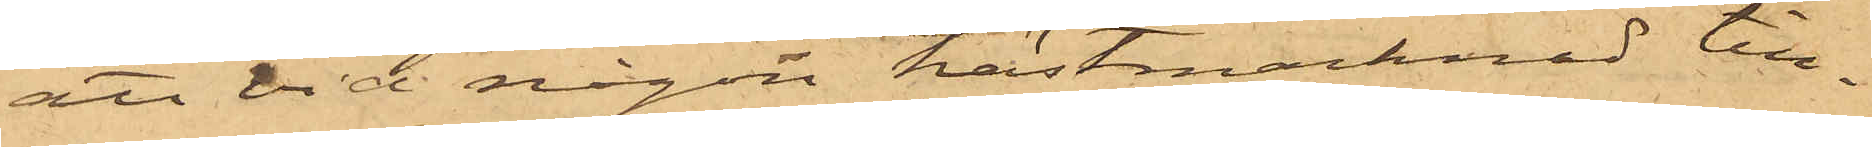att vid någon hästmarknad till¬
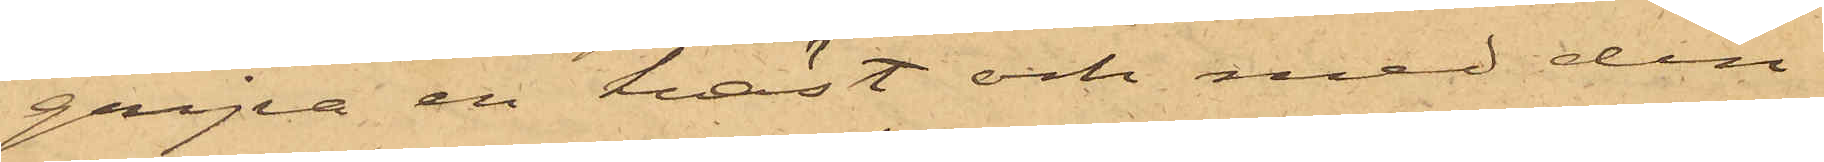gripa en häst och med den
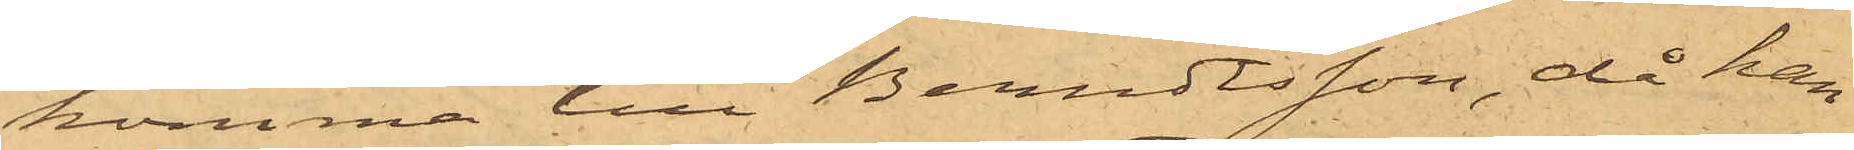komma till Berndtsson, då han
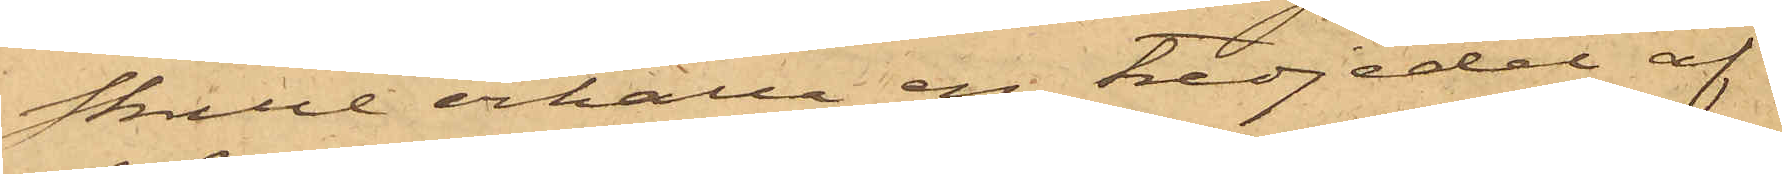skulle erhålla en tredjedel af
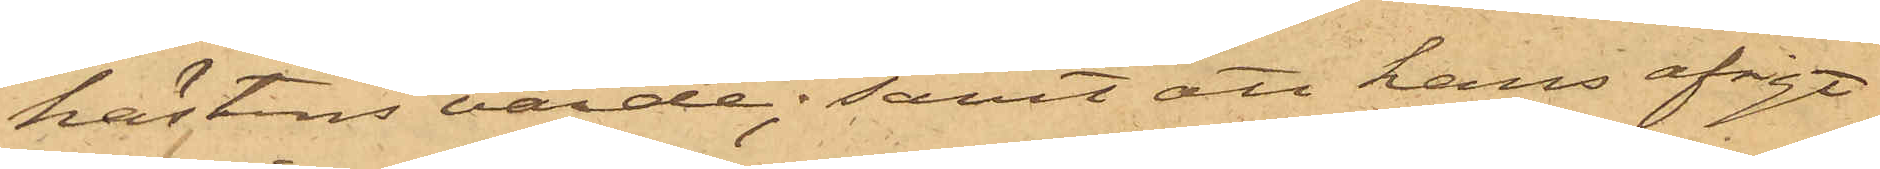hästens värde; samt att hans afsigt
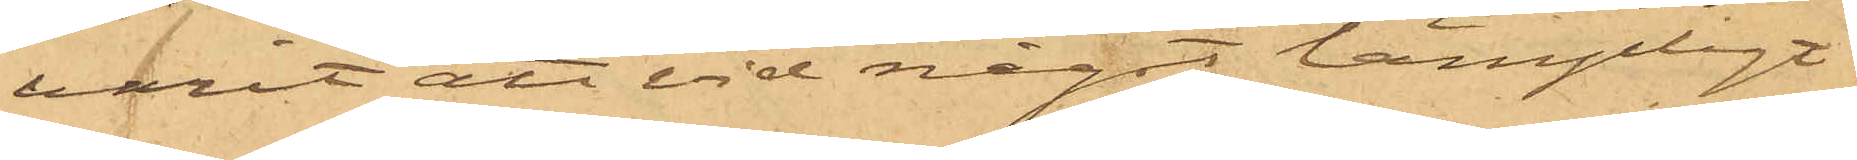varit att vid något lämpligt
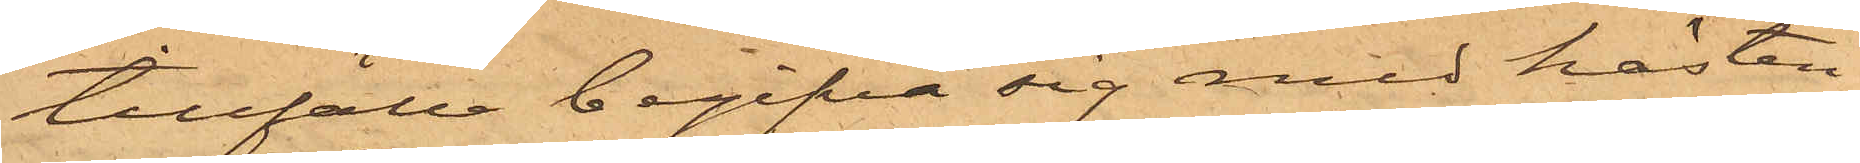tillfälle begifva sig med hästen
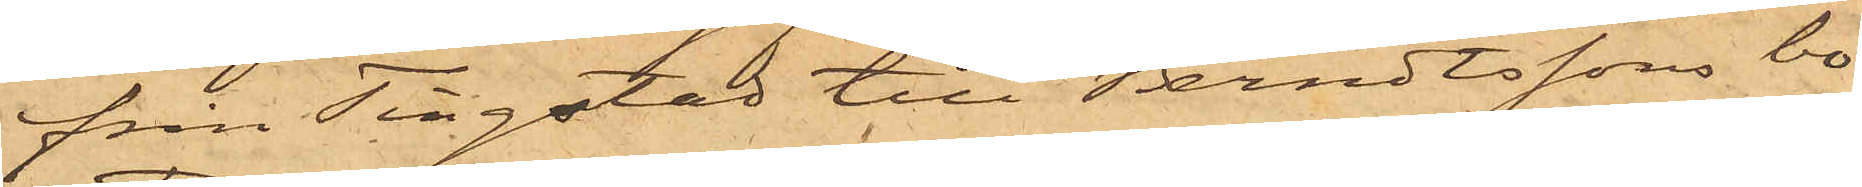från Tingstad till Berndtssons bo¬
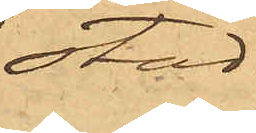stad.
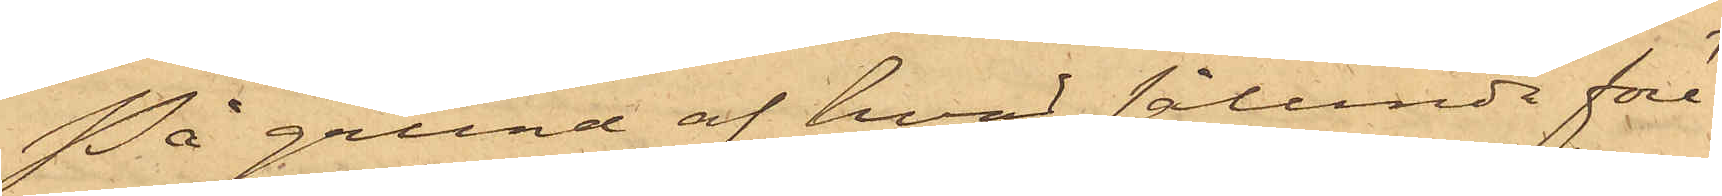På grund af hvad sålunda före¬
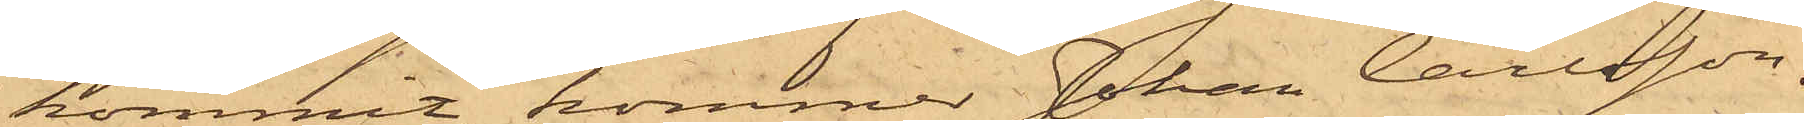kommit, kommer Johan Carlsson,
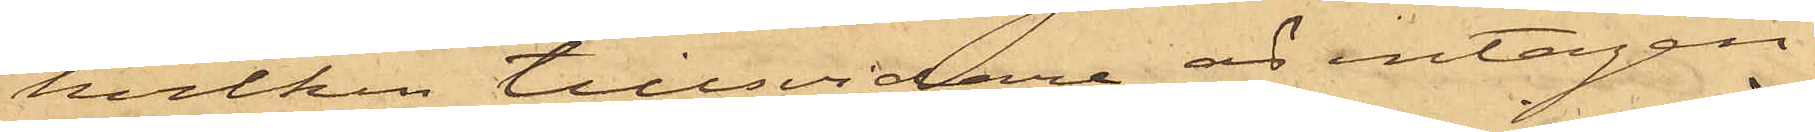hvilken tillsvidare är intagen
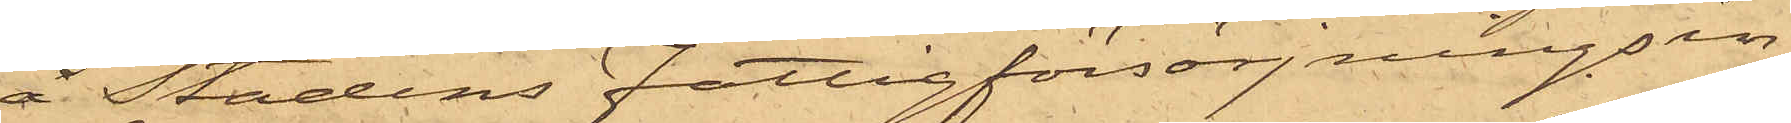å Stadens Fattigförsörjningsin¬
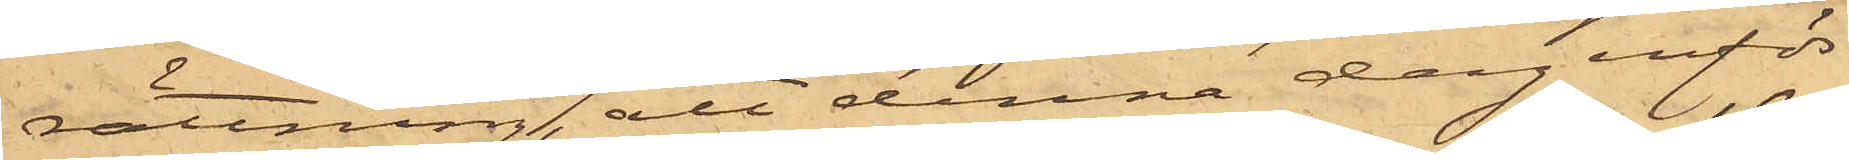rättning, att denna dag inför
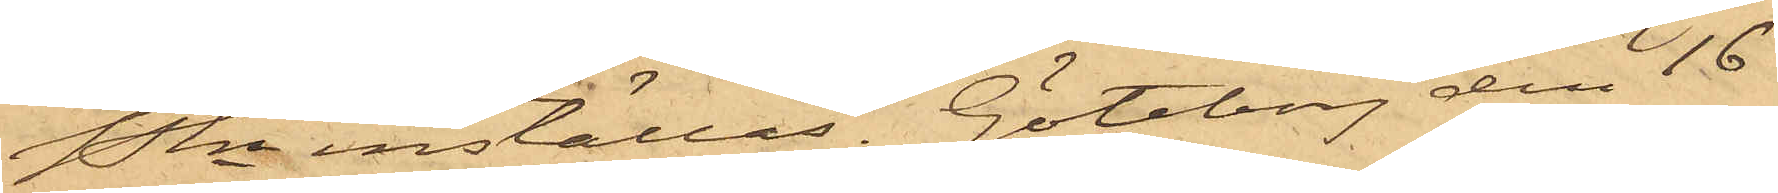Pkn inställas. Göteborg den 16
